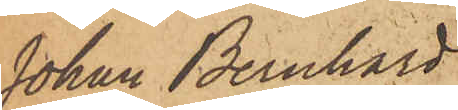Johan Bernhard
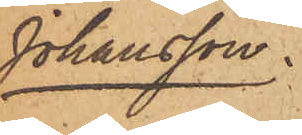Johansson.
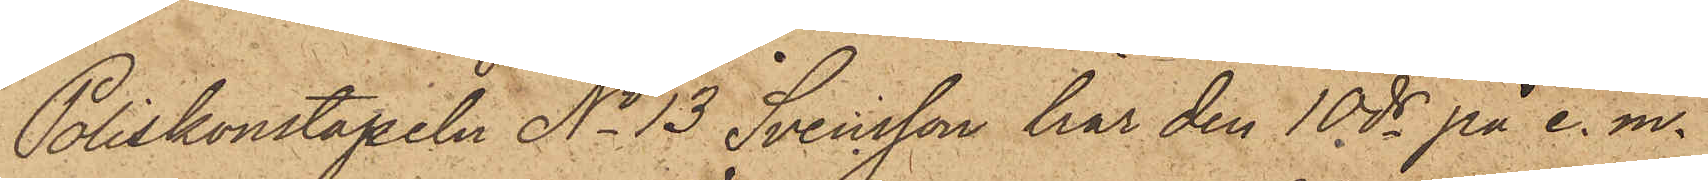Poliskonstapeln No 13 Svensson har den 10 ds på e. m.
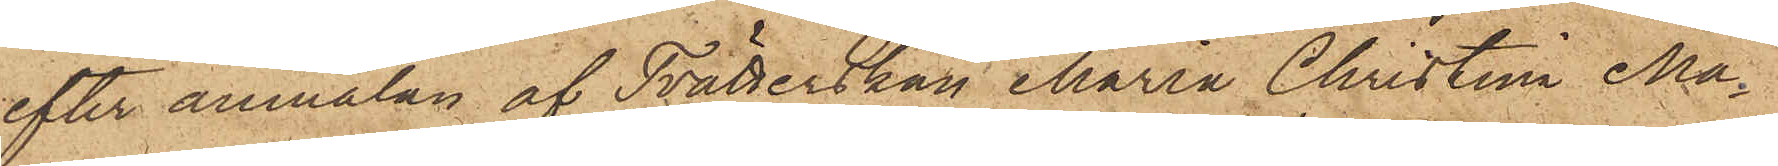efter anmälan af Tvätterskan Maria Christina Ma¬
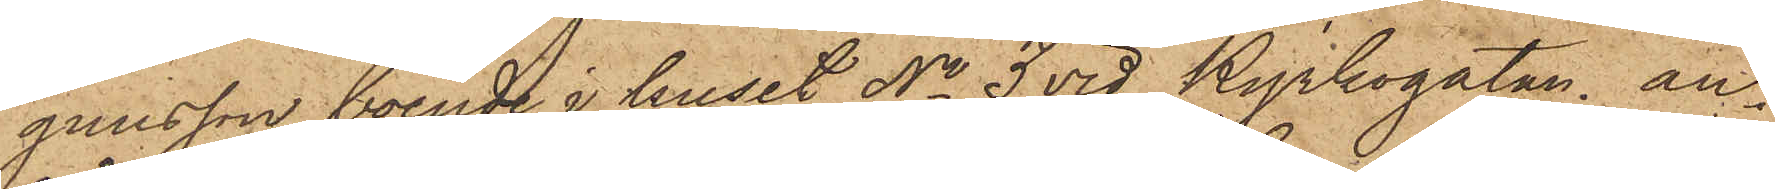gnusson, boende i huset No 3 vid Kyrkogatan, an¬
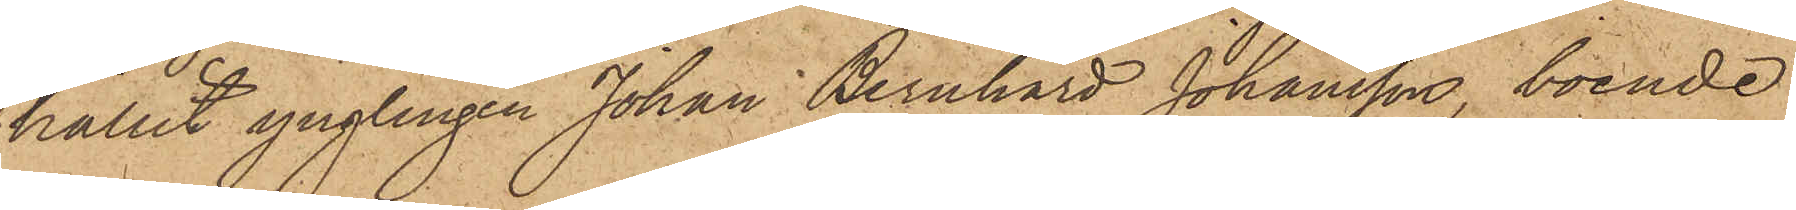hållit ynglingen Johan Bernhard Johansson, boende
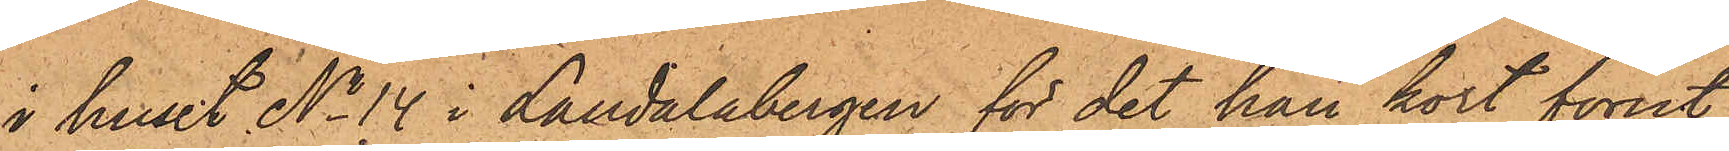i huset No 14 i Landalabergen för det han kort förut
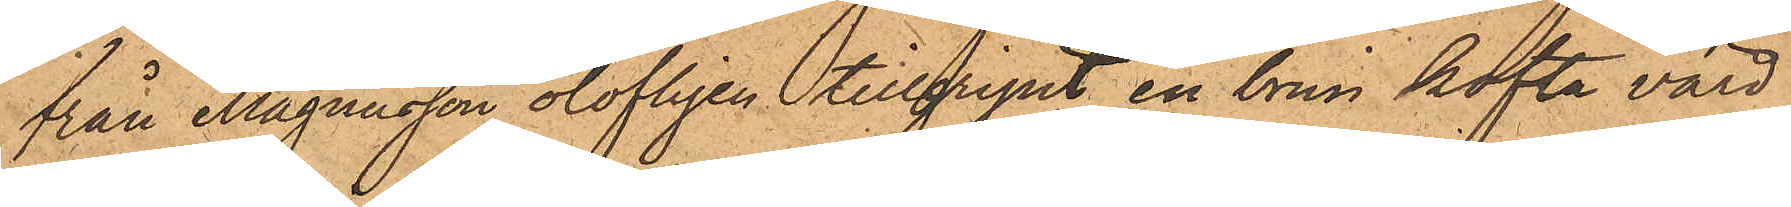från Magnusson olofligen tillgripit en brun kofta värd
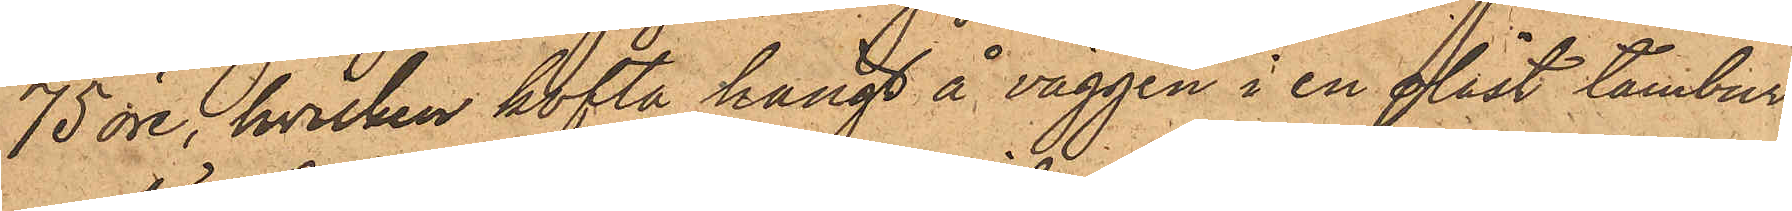75 öre, hvilken kofta hängt å väggen i en olåst tambur
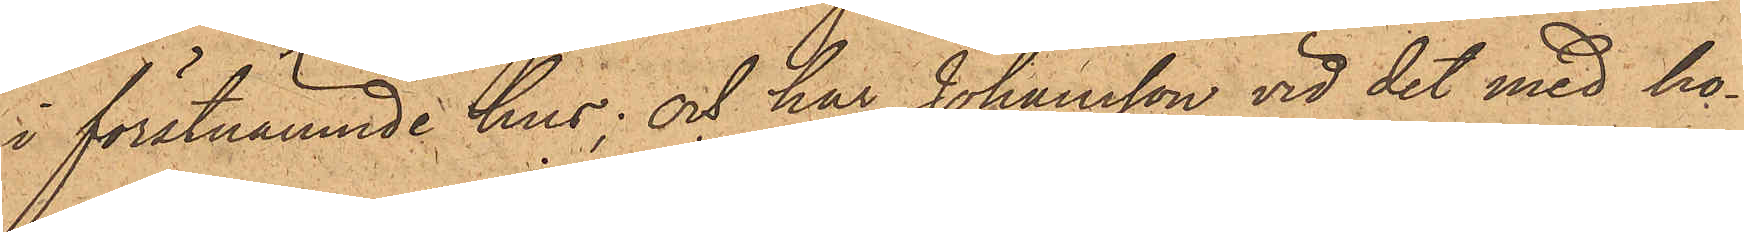i förstnämnde hus; och har Johansson vid det med ho¬
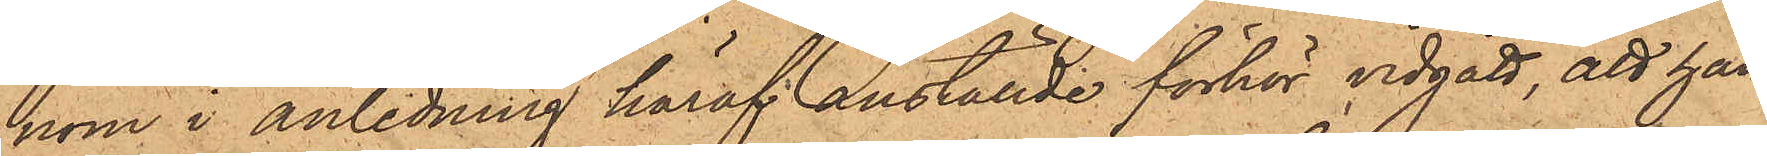nom i anledning häraf anställde förhör vidgått, att han
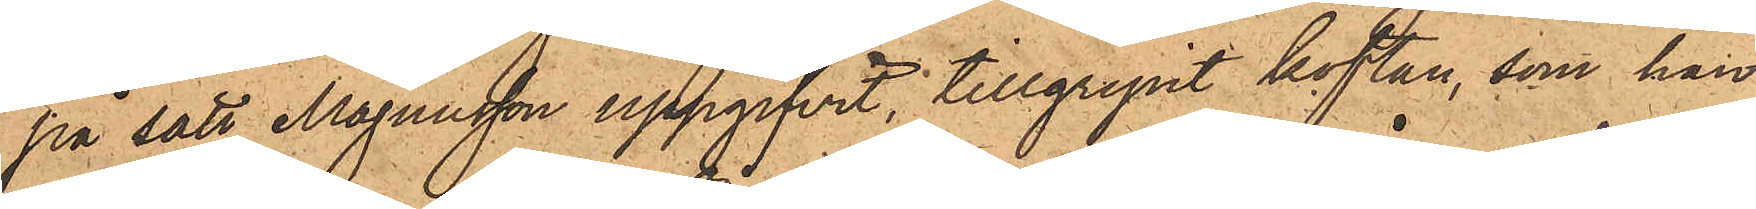på sätt Magnusson uppgifvit, tillgripit koftan, som han
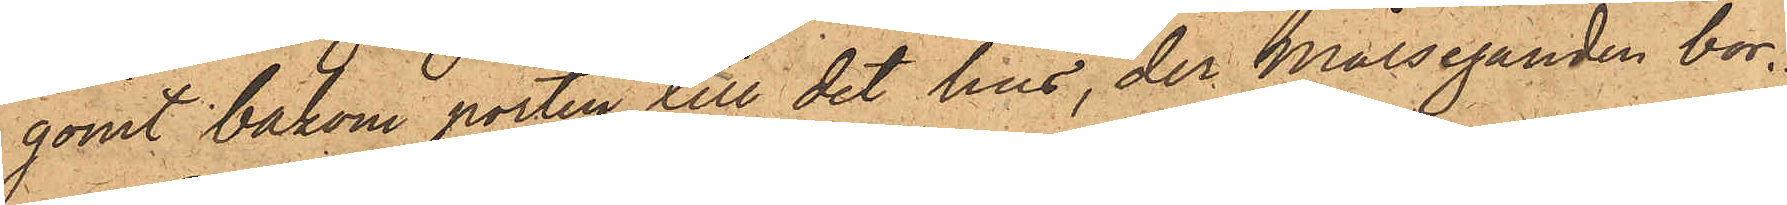gömt bakom porten till det hus, der Målseganden bor.
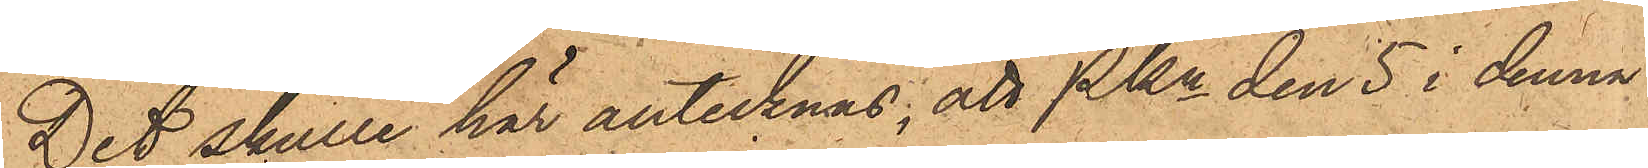Det skulle här antecknas; att Pkn den 5 i denna
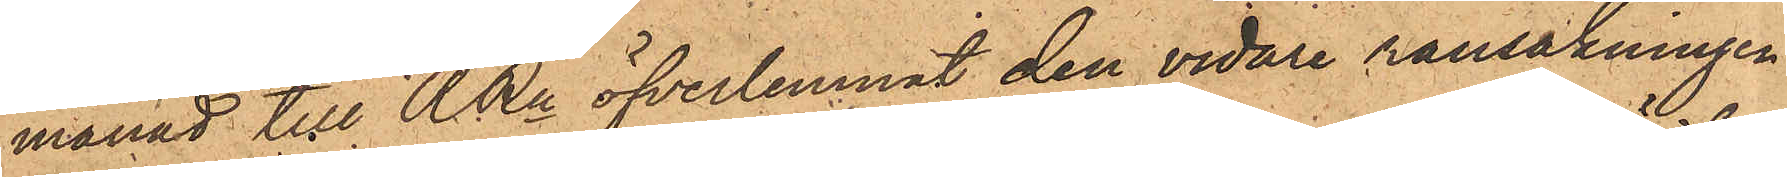månad till RRn öfverlemnat den vidare rannsakningen
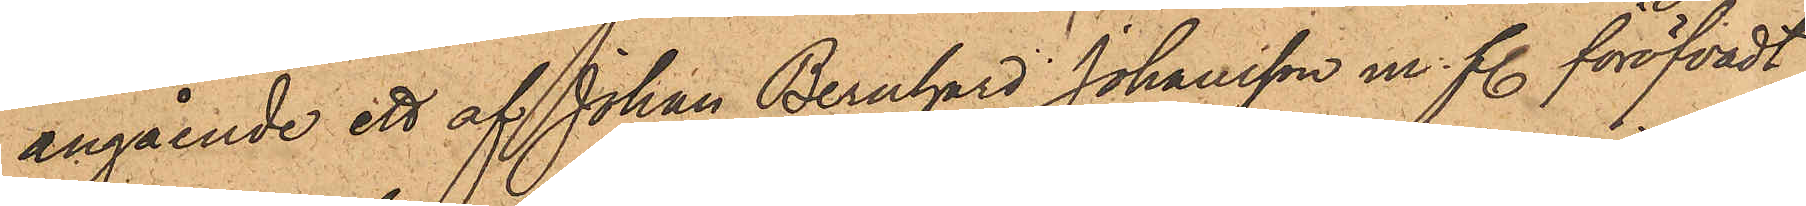angående ett af Johan Bernhard Johansson m. fl. föröfvadt
